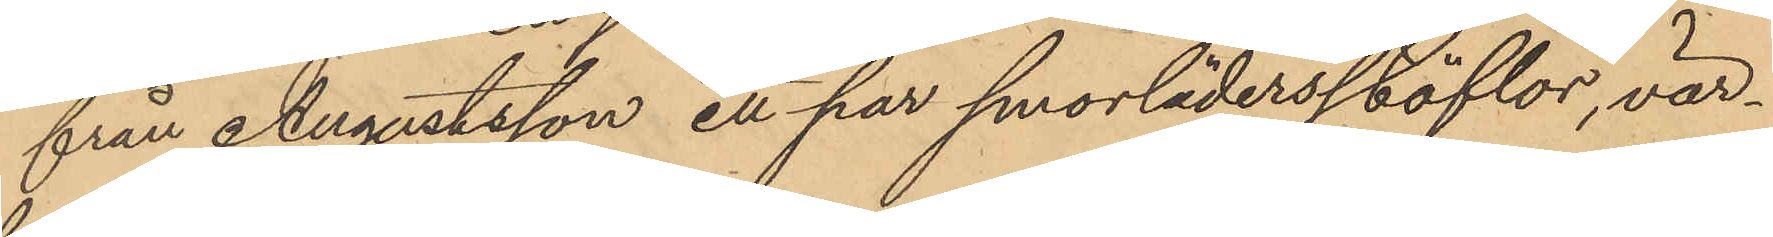från Augustsson ett par smorlädersstöflor, vär¬
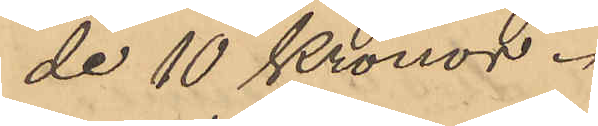de 10 Kronor.
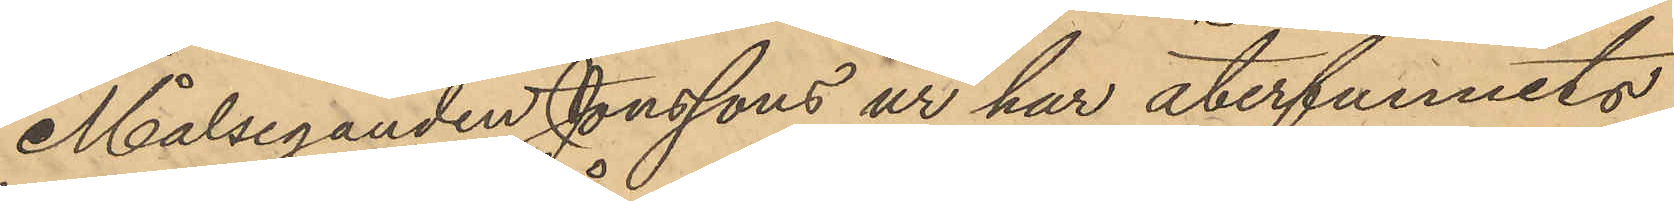Målseganden Jonssons ur har återfunnits
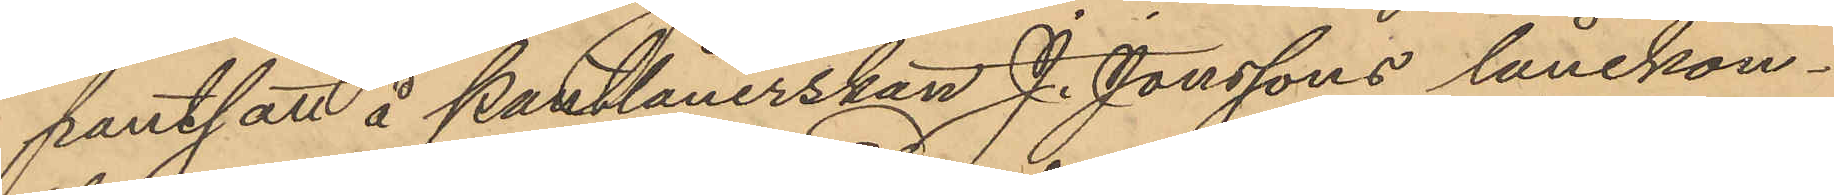pantsatt å pantlånerskan J. Jonssons lånekon¬
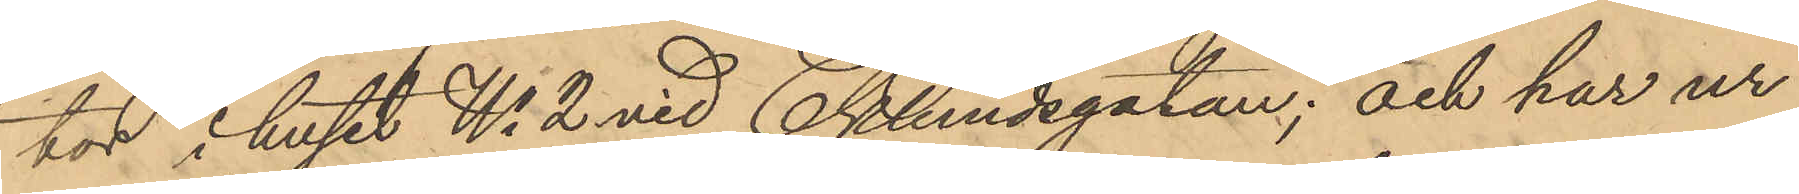tor i huset No 2 vid Eklundegatan; och har ur
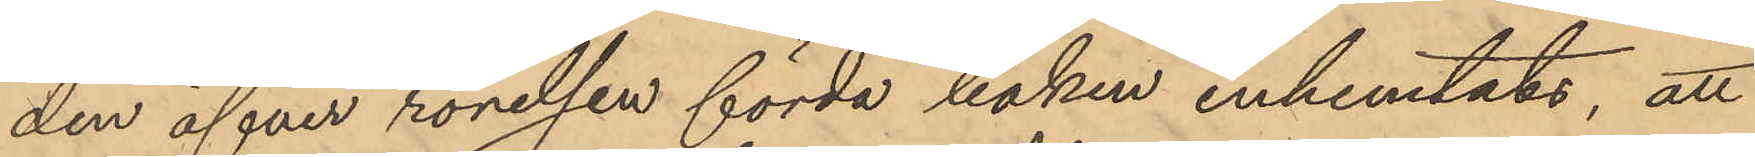den öfver rörelsen förda boken inhemtats, att
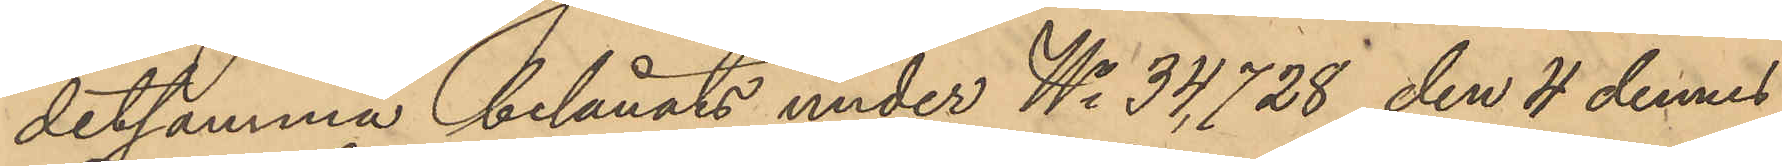detsamma belånats under No 34,728 den 4 dennes
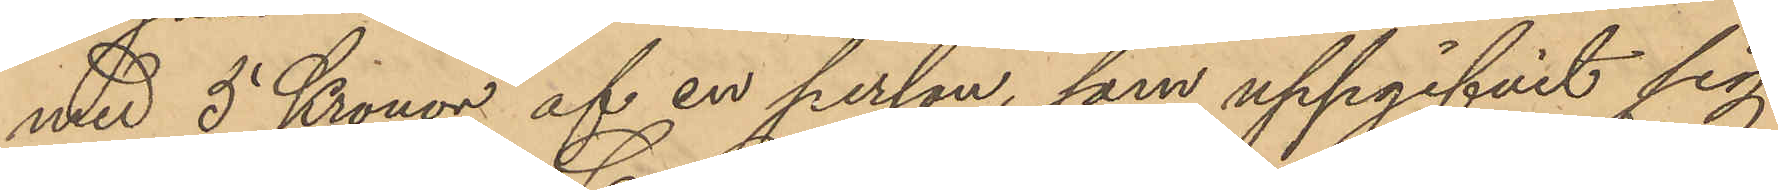med 5 Kronor af en person, som uppgifvit sig
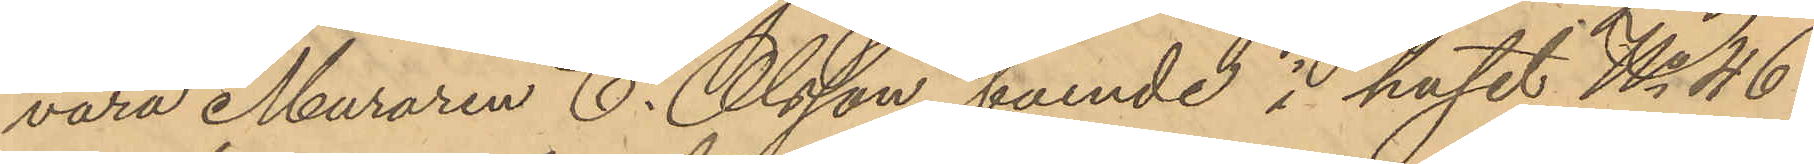vara Muraren C. Olsson boende i huset No 46
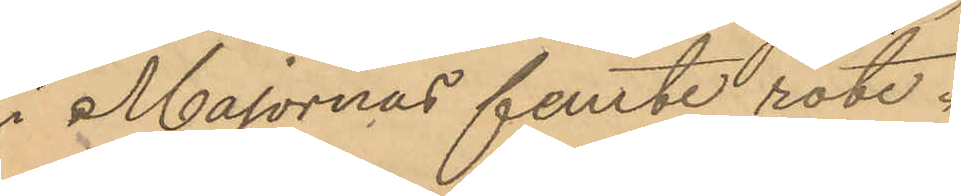i Majornas femte rote.
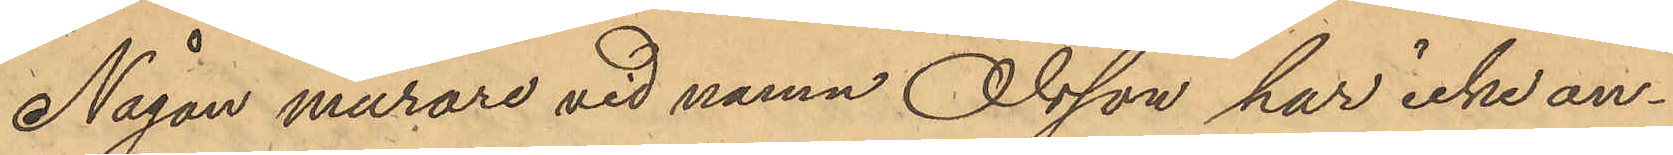Någon murare vid namn Olsson har icke an¬
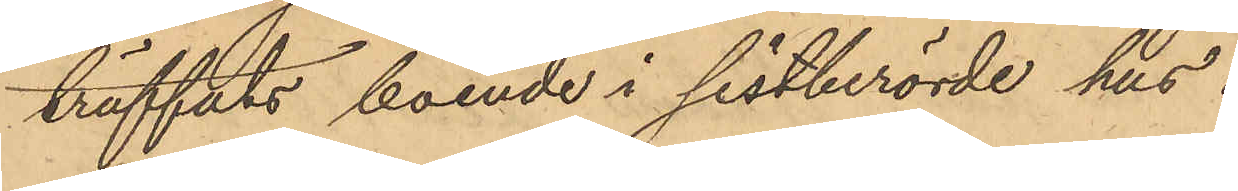träffats boende i sistberörde hus.
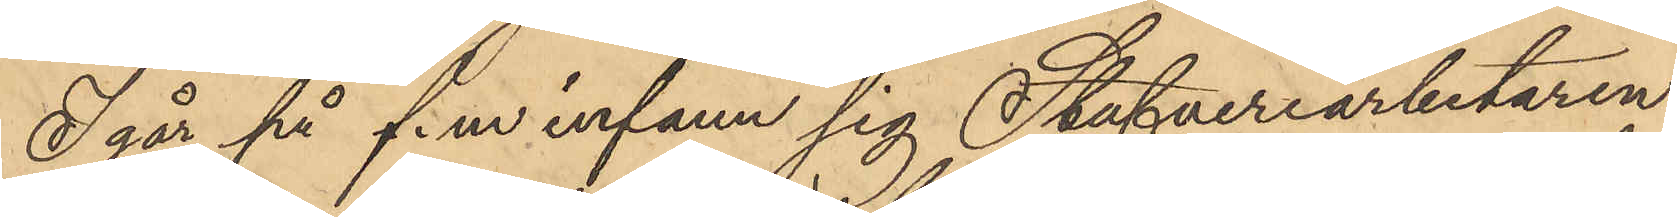I går på f.m infann sig Stufveriarbetaren
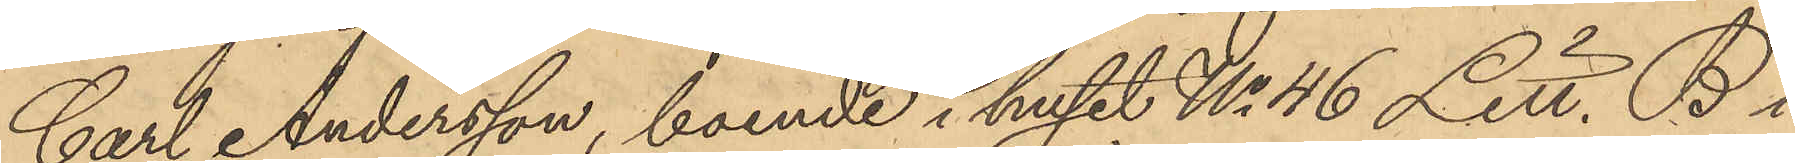Carl Andersson, boende i huset No 46 Litt. B i
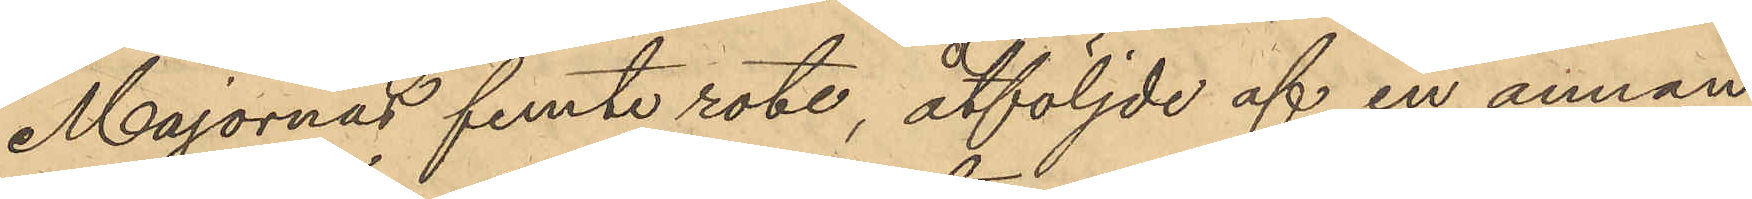Majornas femte rote, åtföljde af en annan
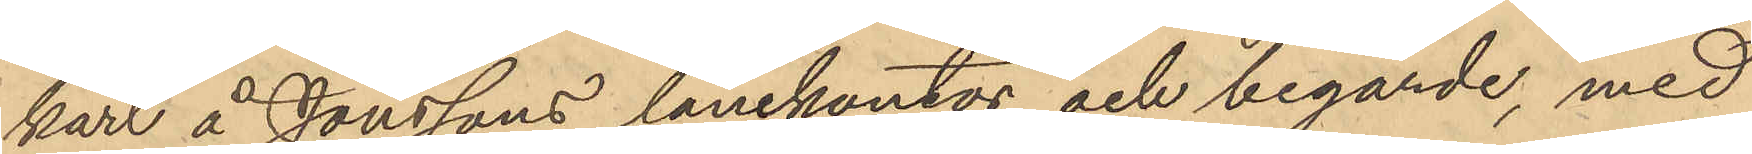karl å Jonssons lånekontor och begärde, med
